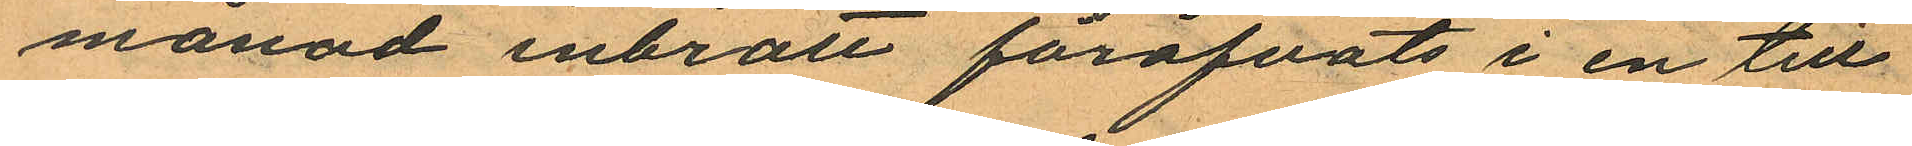månad inbrott föröfvats i en till
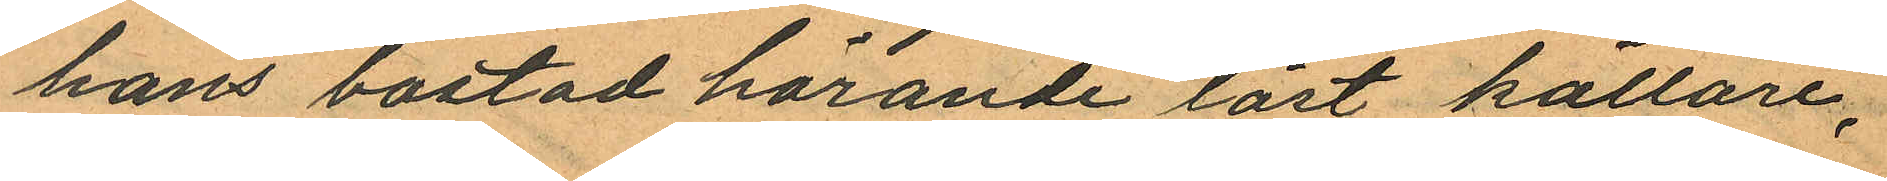hans bostad hörande låst källare,
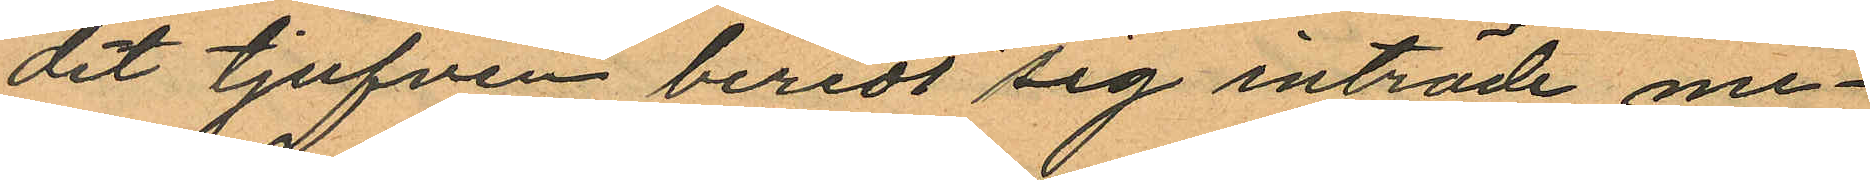dit tjufven beredt sig inträde me¬
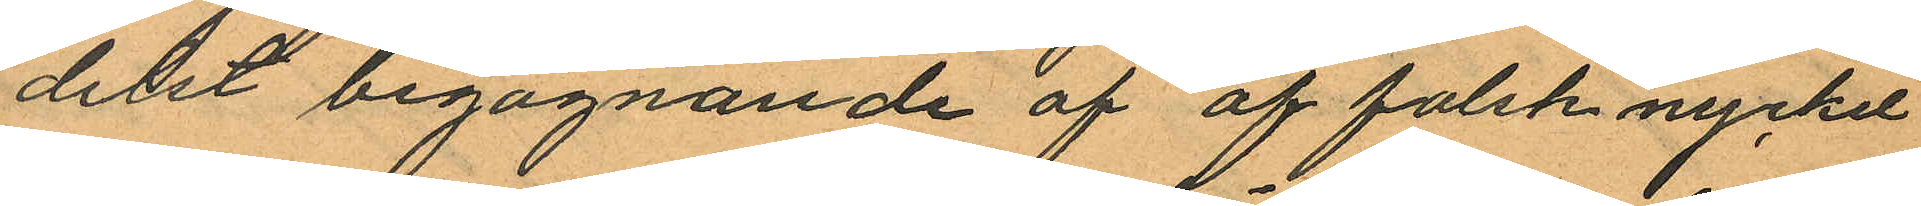delst begagnande af af falsk nyckel
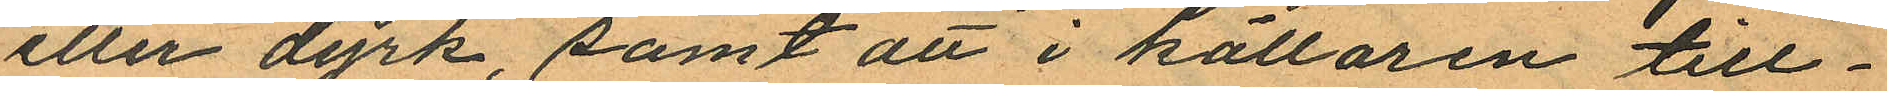eller dyrk, samt att i källaren till¬
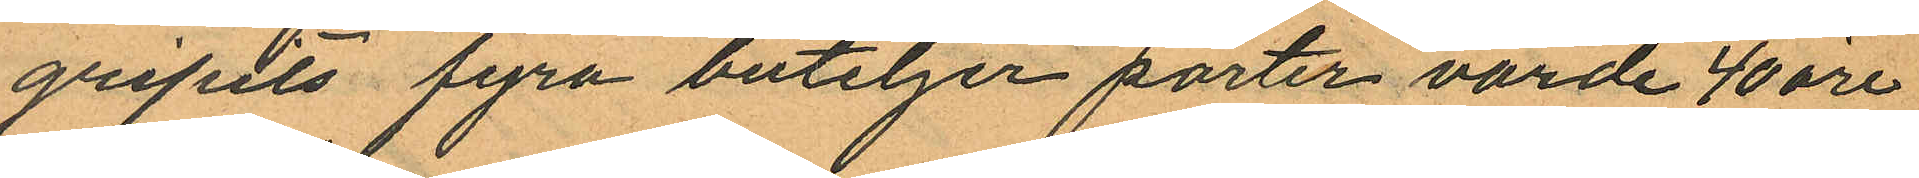gripits fyra buteljer porter värde 40 öre
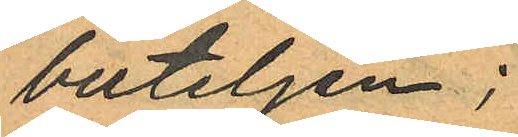buteljen;
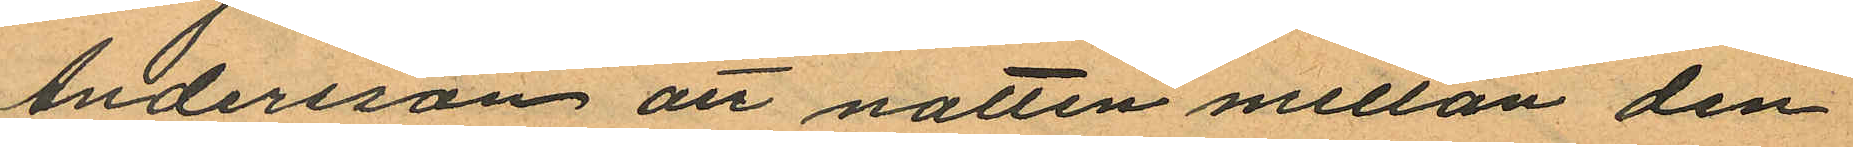Andersson att natten mellan den
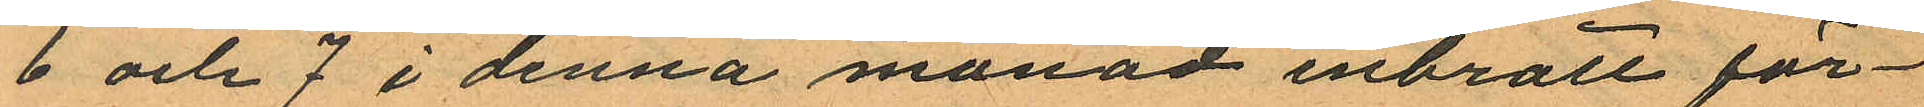6 och7 i denna månad inbrott för¬
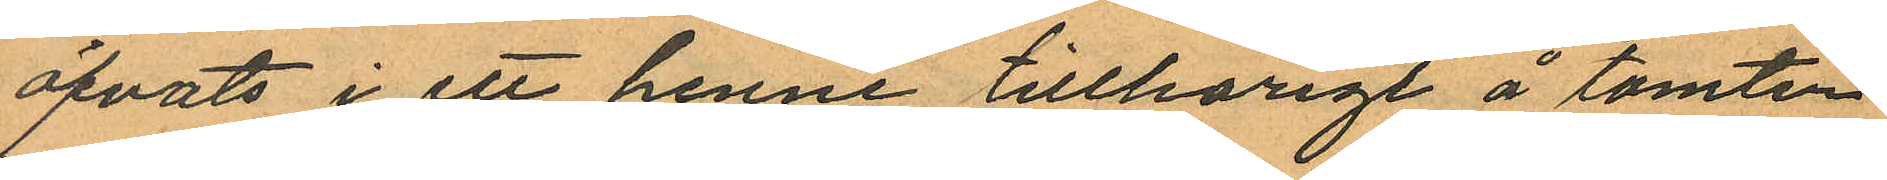öfvats i ett henne tillhörigt å tomten
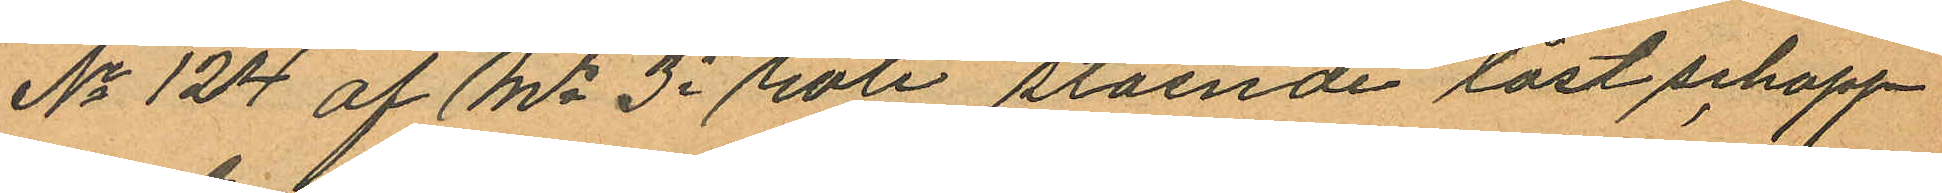No 124 af Ms 3e rote stående låst schapp
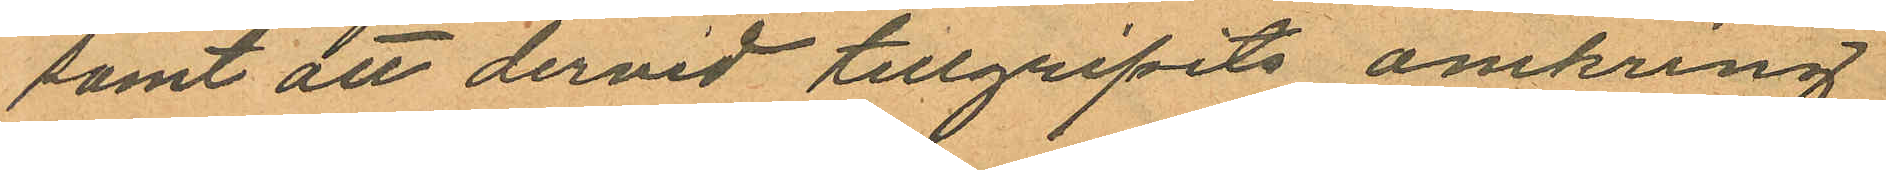samt att dervid tillgripits omkring
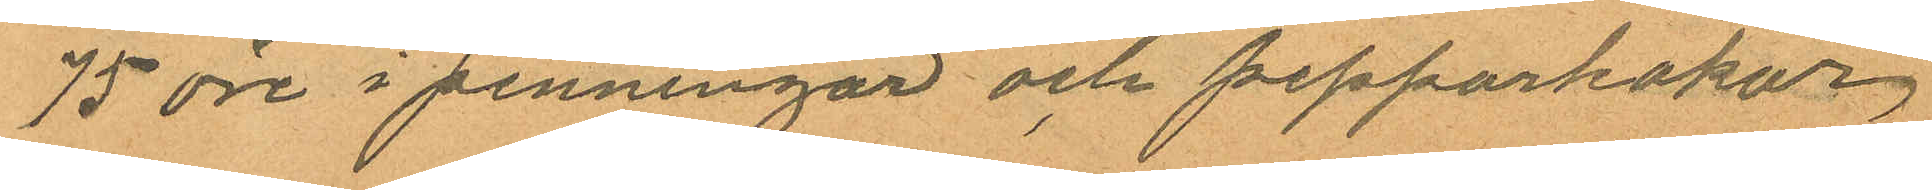75 öre i penningar och pepparkakor,
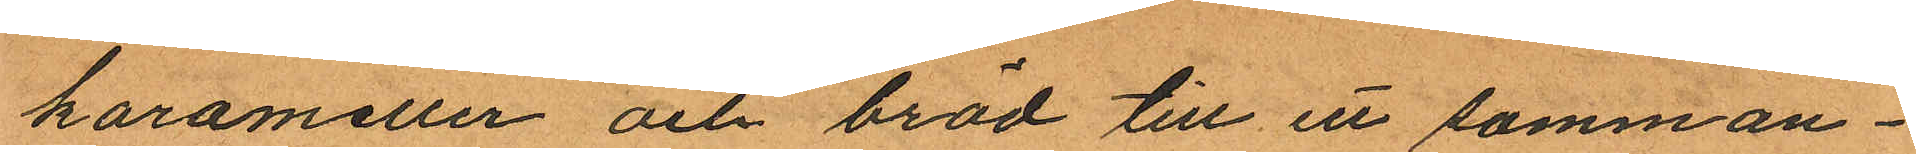karameller och bröd till ett samman¬
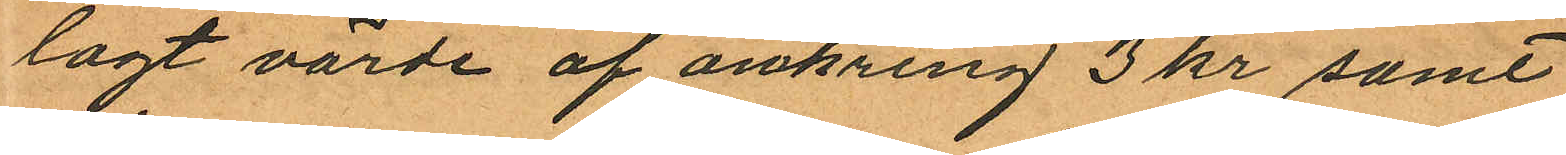lagt värde af omkring 3 kr samt
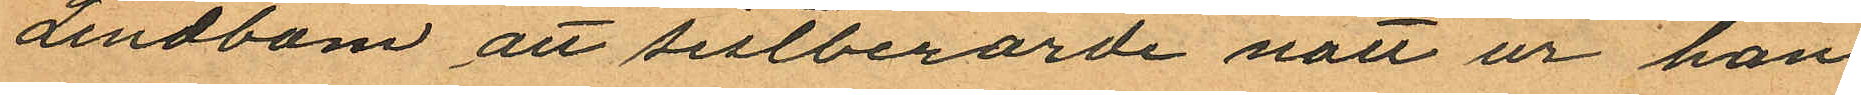Lindbom att sistberörde natt ur han
